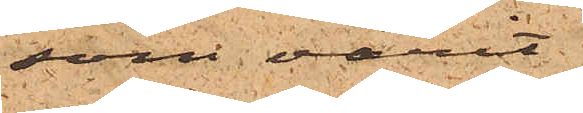som varit
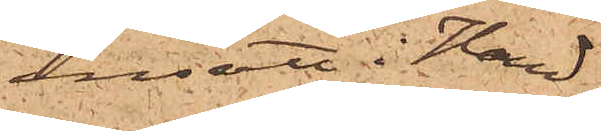insatt i Hand¬
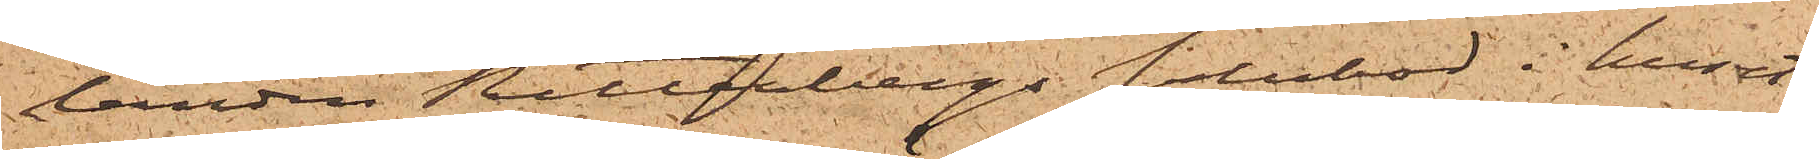landen Ritterbergs salubod i huset
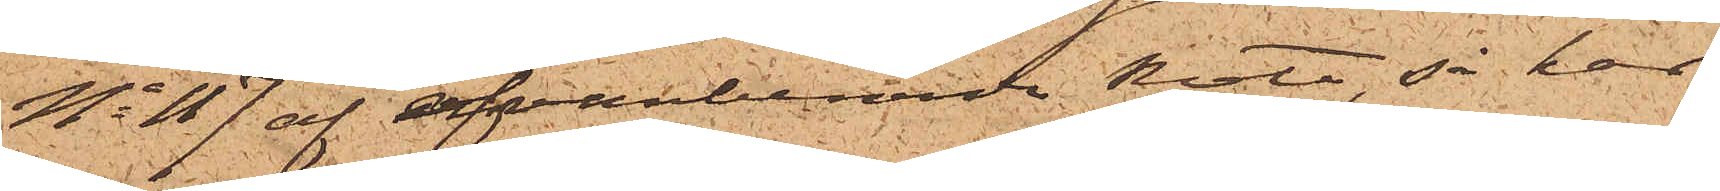No 117 af ofvanberörde Rote, så har
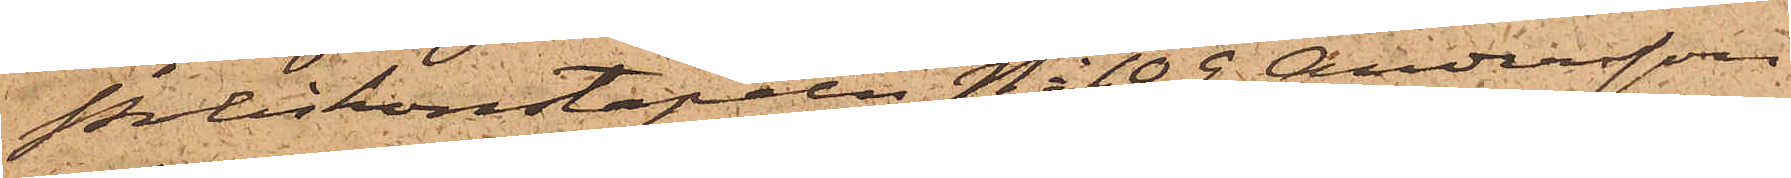Poliskonstapeln No 109 Andersson
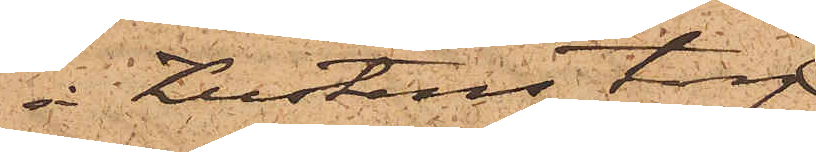å Kustens torg
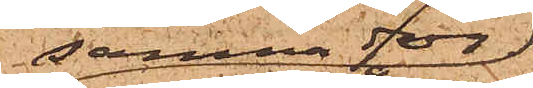samma dag
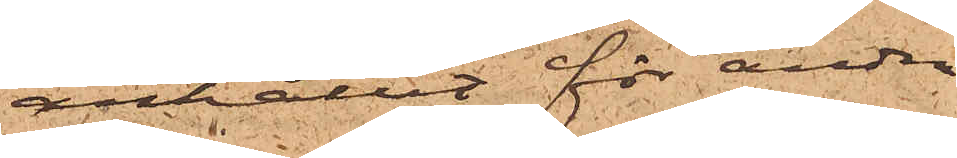anhållit för andra
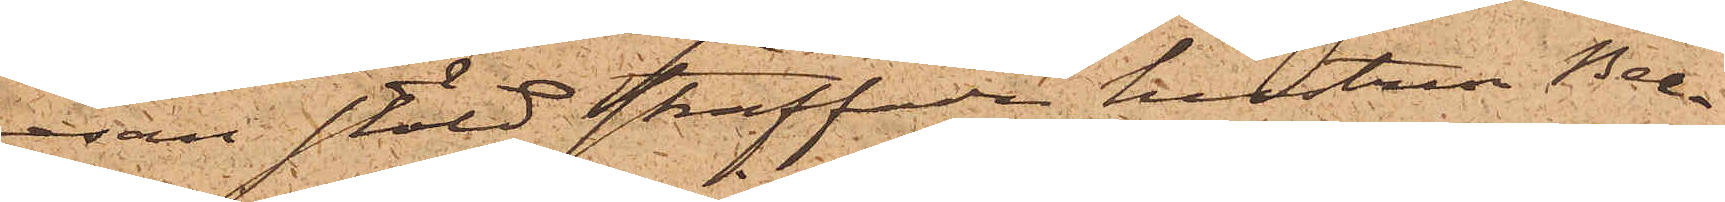resan stöld straffade hustru Bea¬
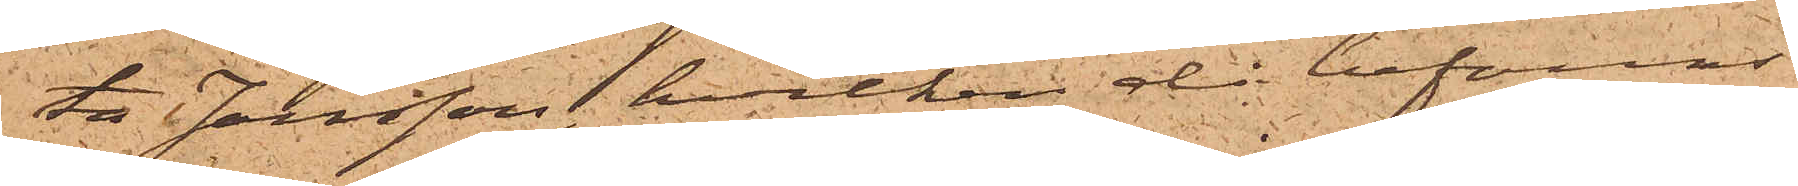ta Jansson, hvilken då befanns
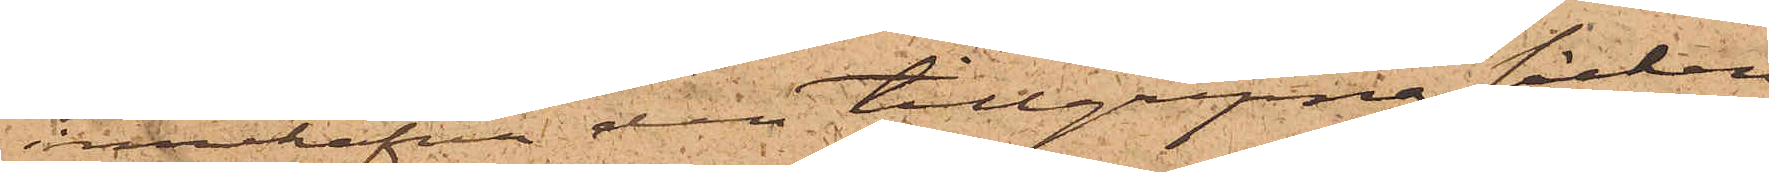innehafva den tillgripna säcken
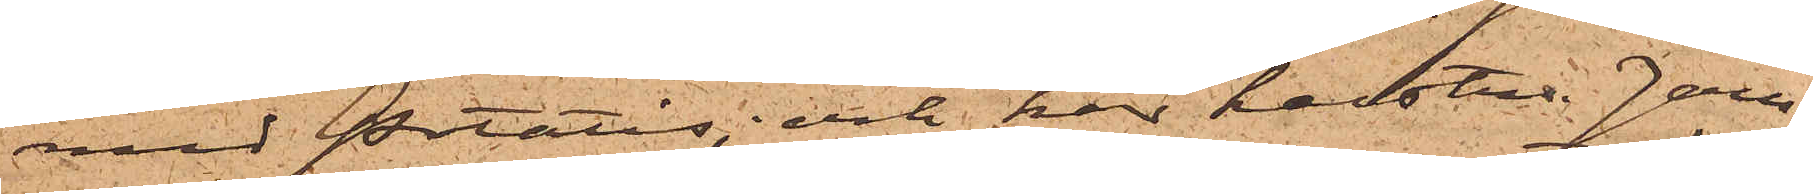med potatis; och har hustru Jan¬
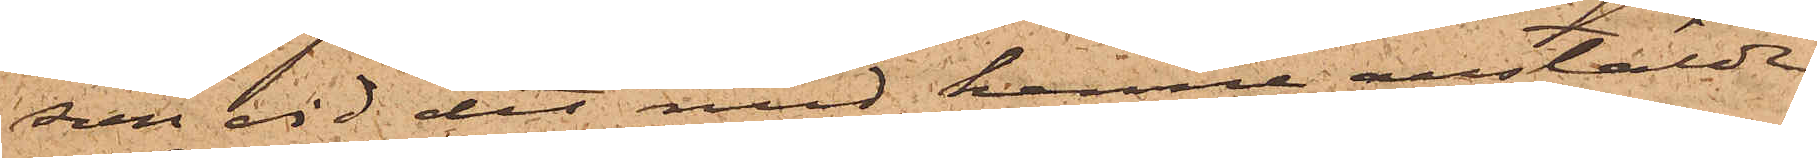son vid det med henne anstäldte
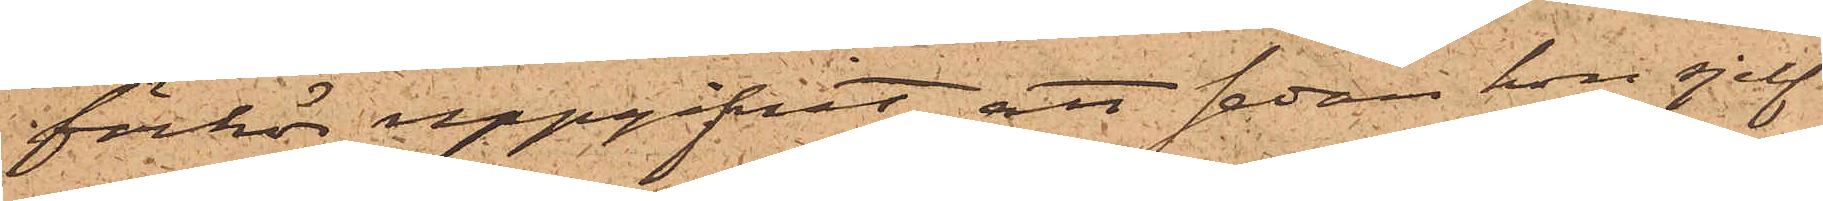förhör uppgifvit, att sedan hon sjelf
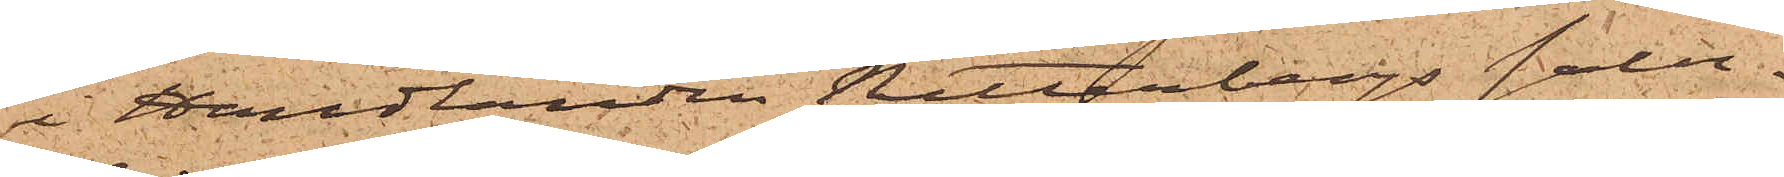i Handlanden Ritterbergs salu¬
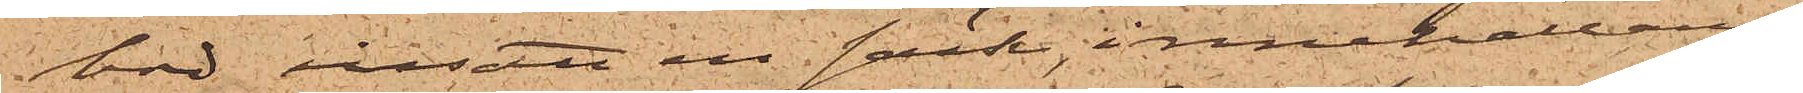bod insatt en säck, innehållande
